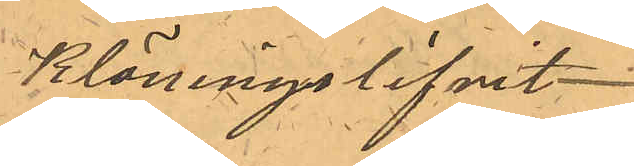Kläningslifvet
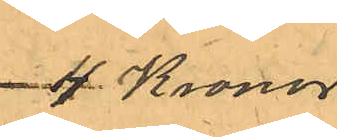4 Kronor
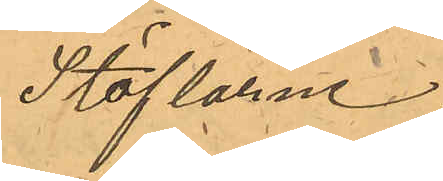Stöflarne
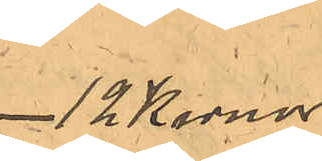12 Kronor
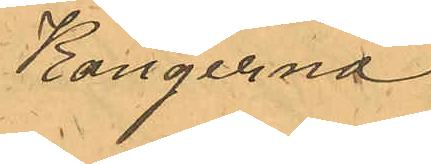Kängerna
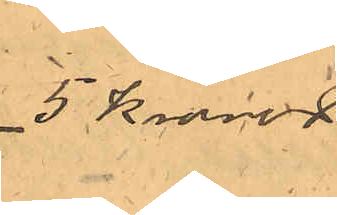5 Kronor
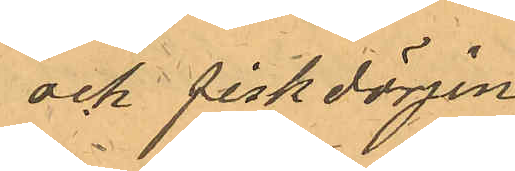och fiskdörjen
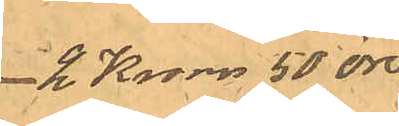2 Kronor 50 öre
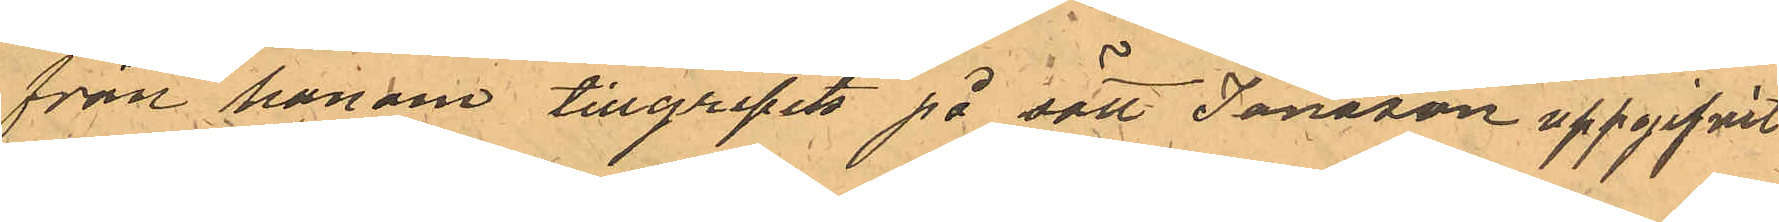från honom tillgripits på sätt Jansson uppgifvit
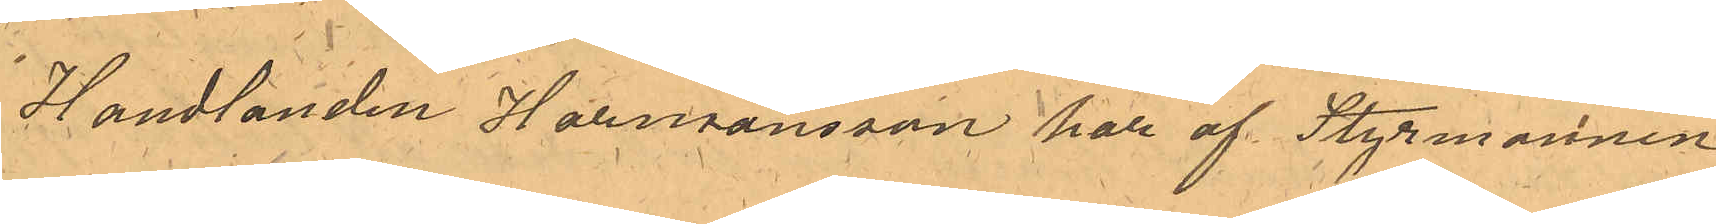Handlanden Harmansson har af Styrmannen
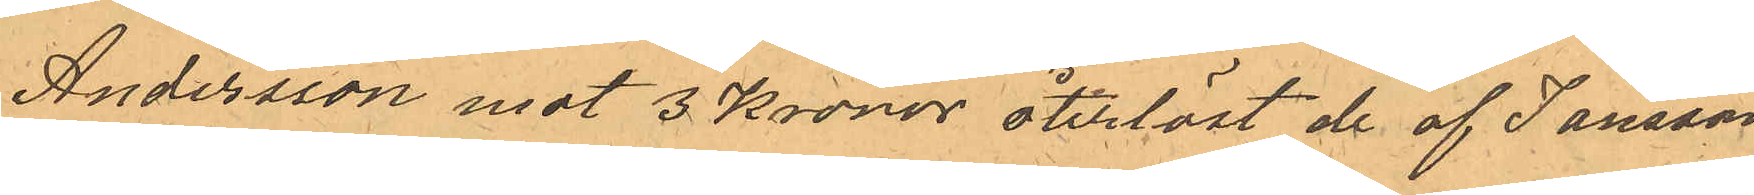Andersson mot 3 Kronor återlöst de af Jansson
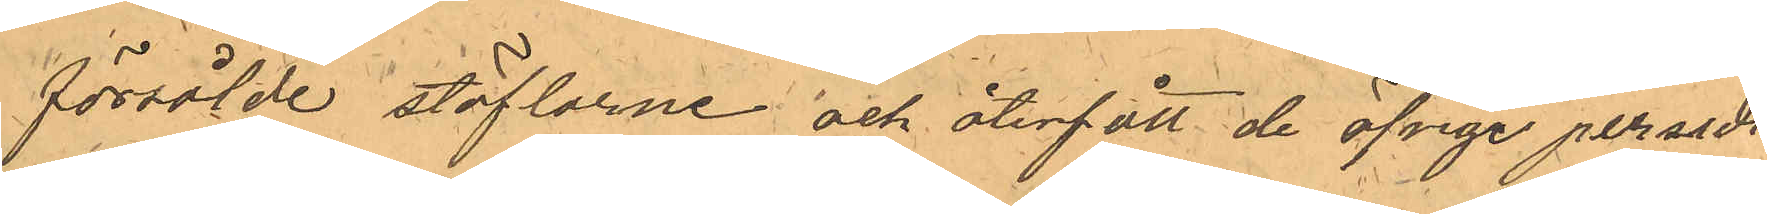försålde stöflarne och återfått de öfrige persedl¬
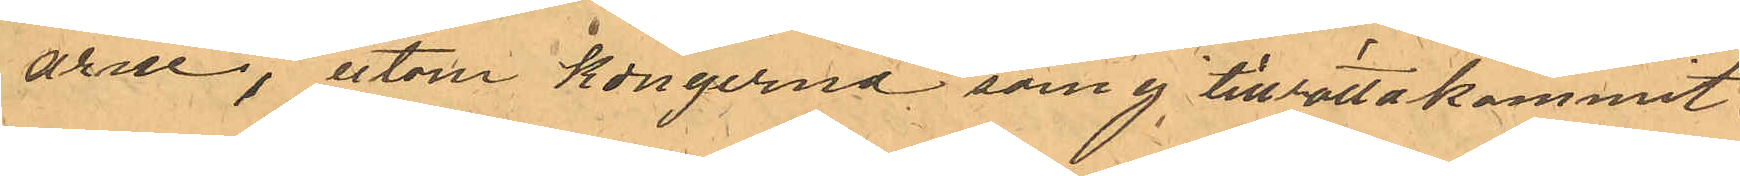arne, utom kängerna som ej tillrättakommit.
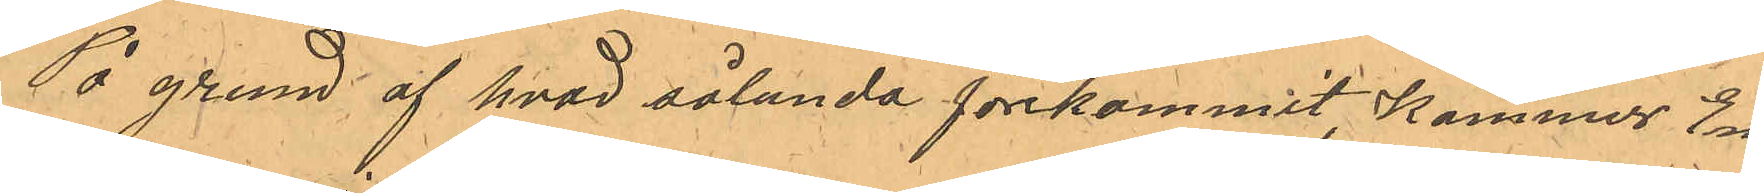På grund af hvad sålunda förekommit, kommer Em¬
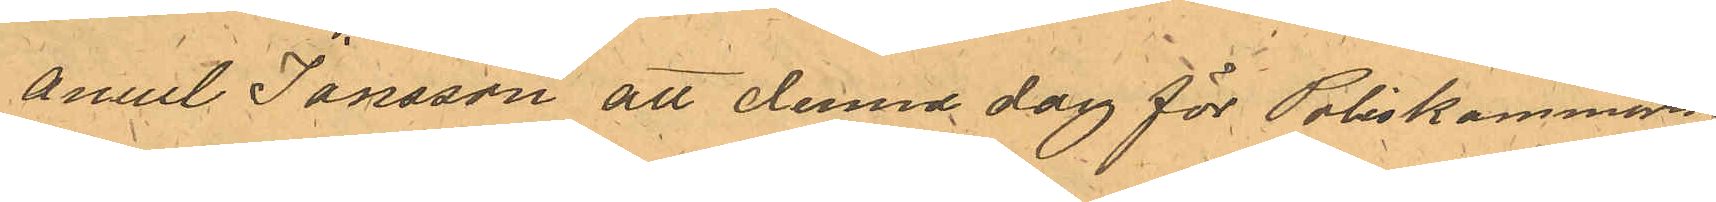anuel Jansson att denna dag för Poliskammaren
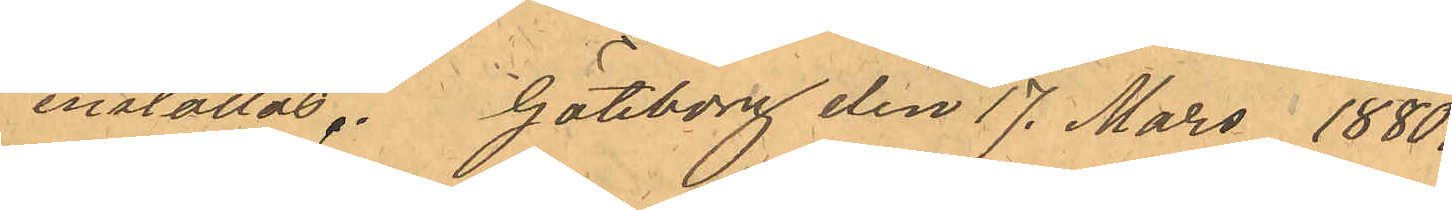inställas. Göteborg den 17. Mars 1880.
